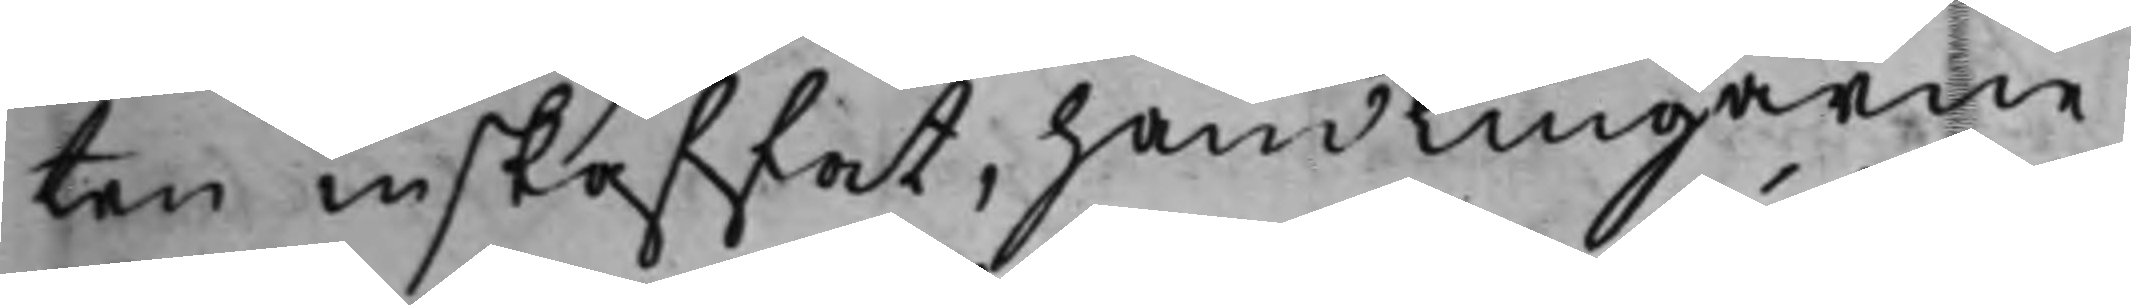ten inskaffat, handlingarne
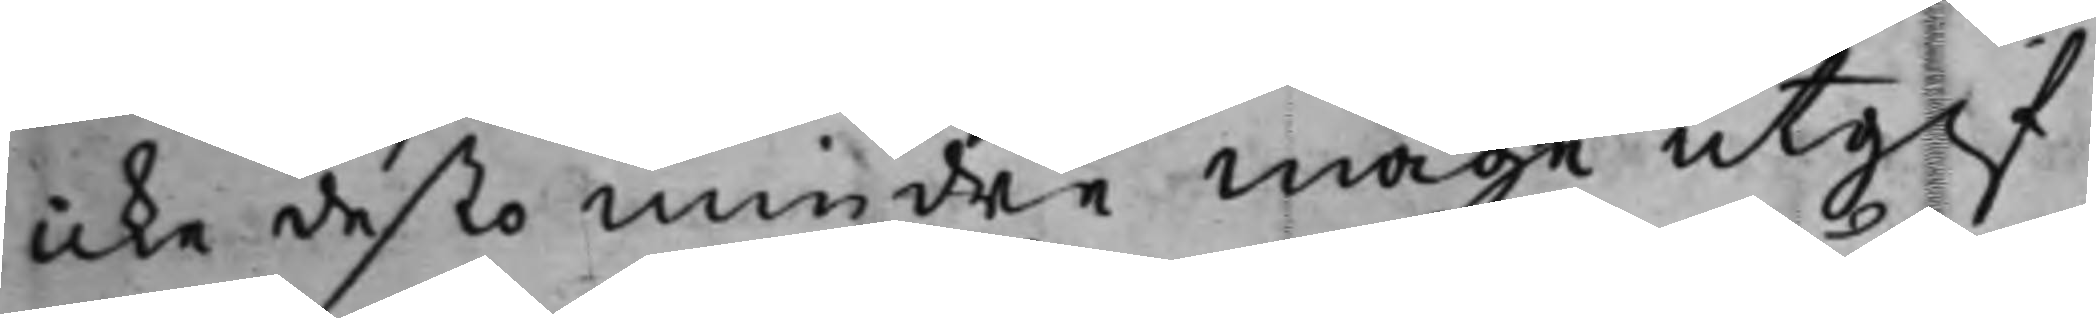icke desto mindre måge utgif¬
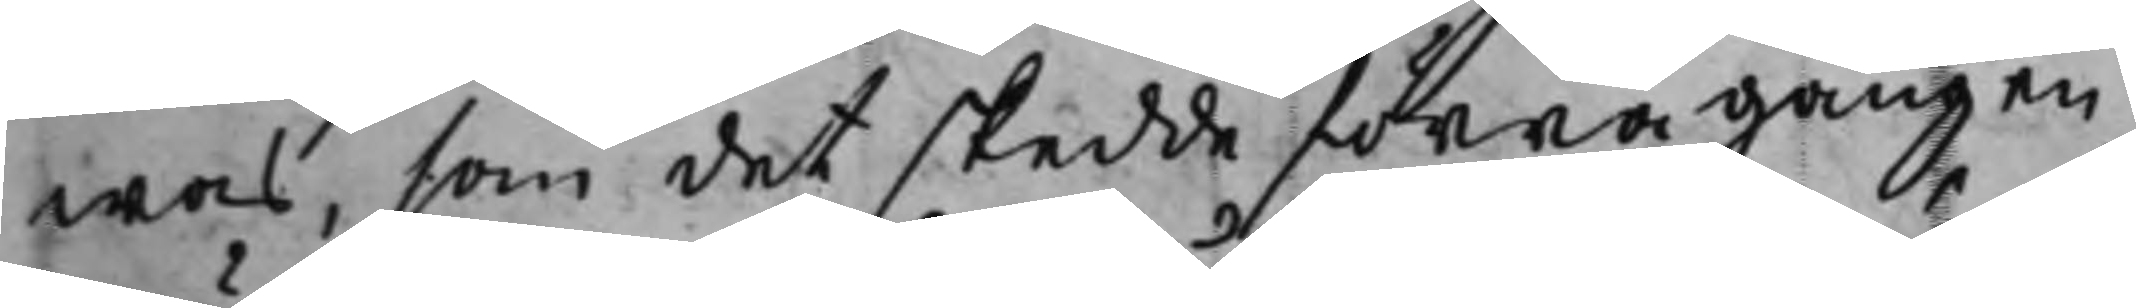was, som det skedde förra gången,
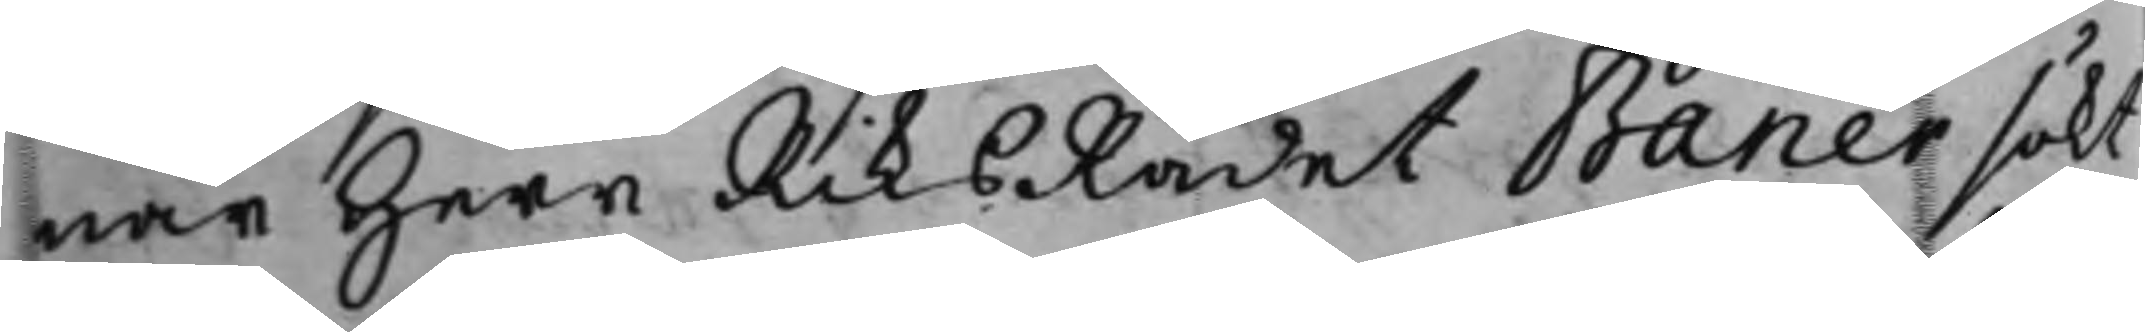när Herr RiksRådet Banér sökt
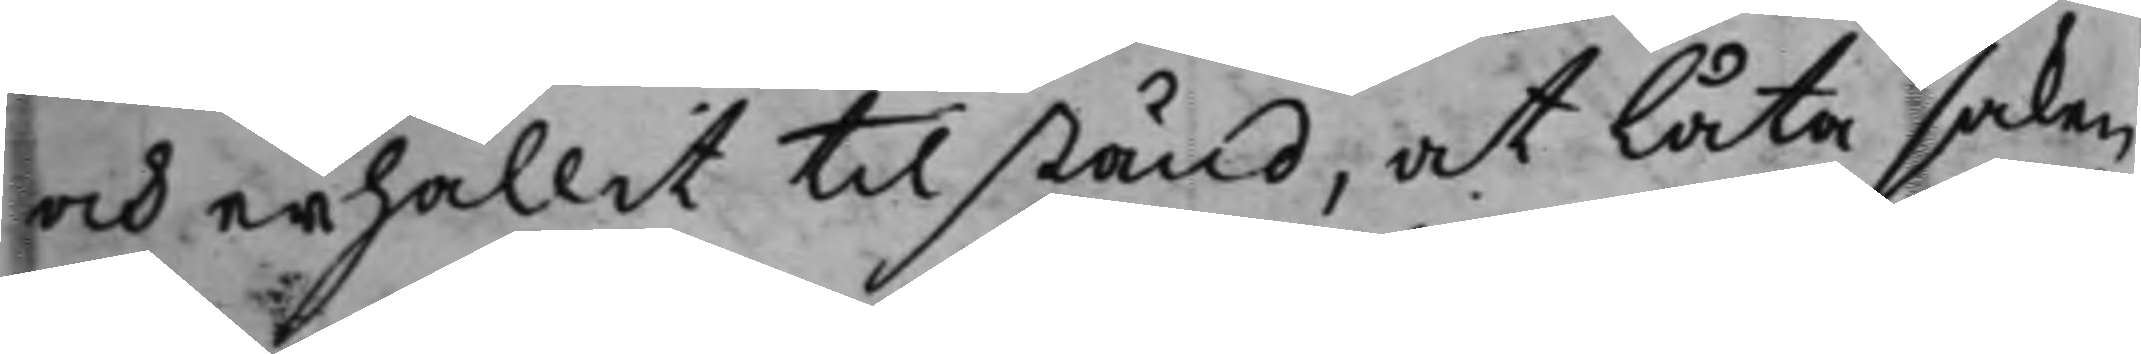och erhållit tillstånd, at låta saken
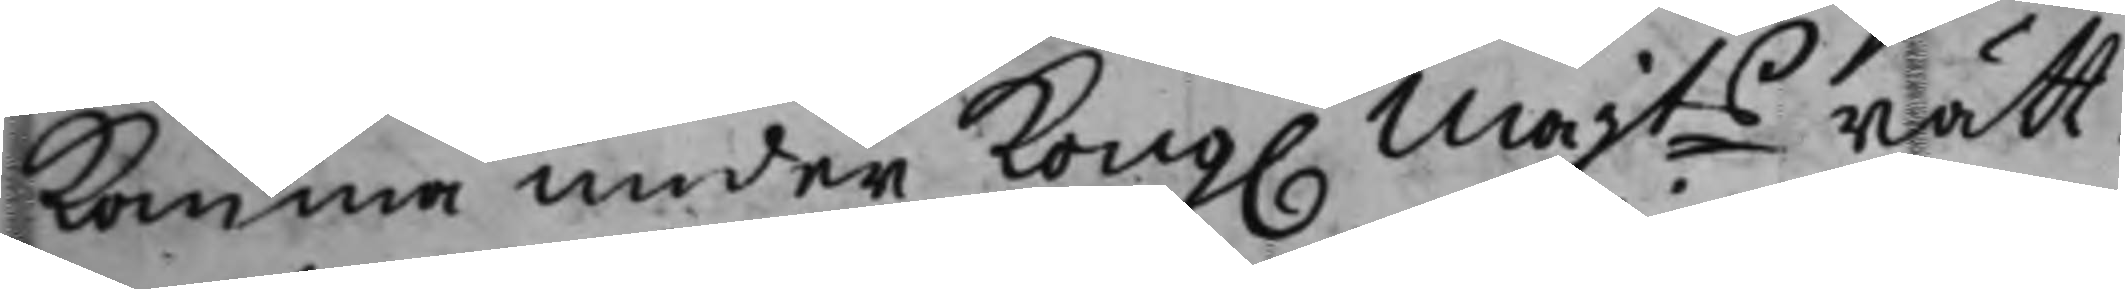komma under Kong. Majts rätt¬
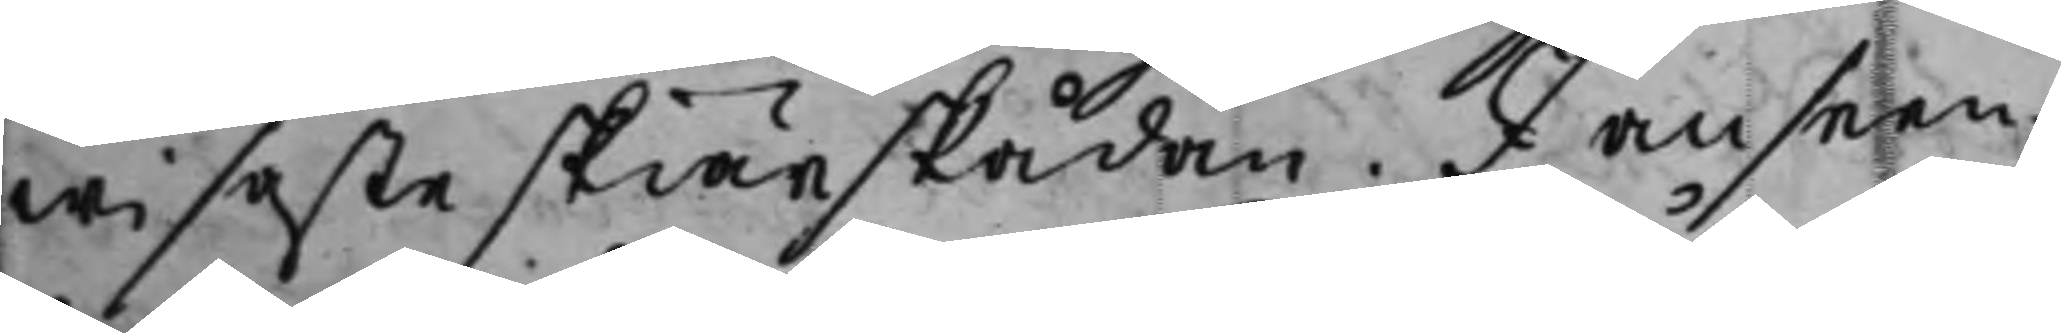wisaste skiärskådan. I anseen¬
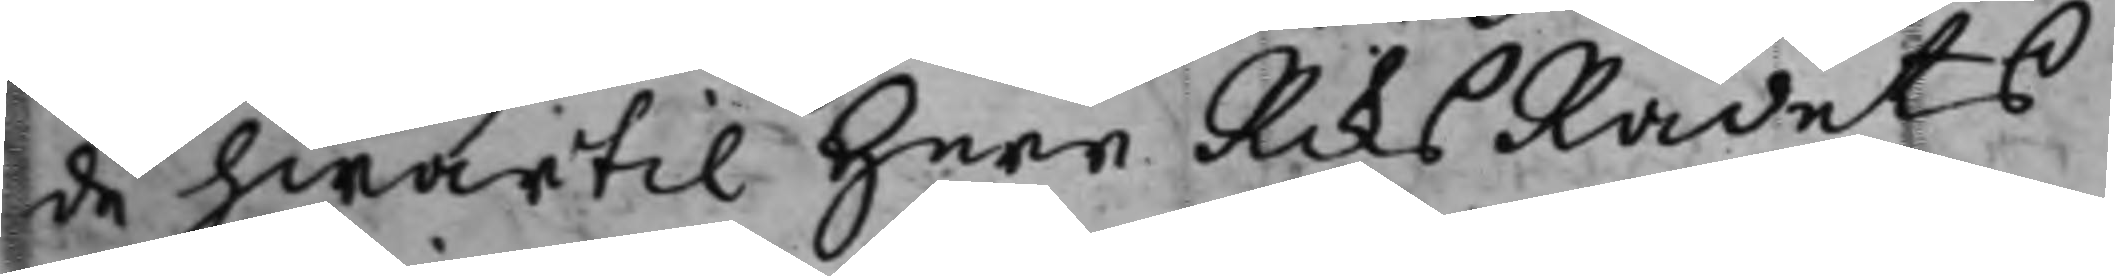de hwartil Herr RiksRådets
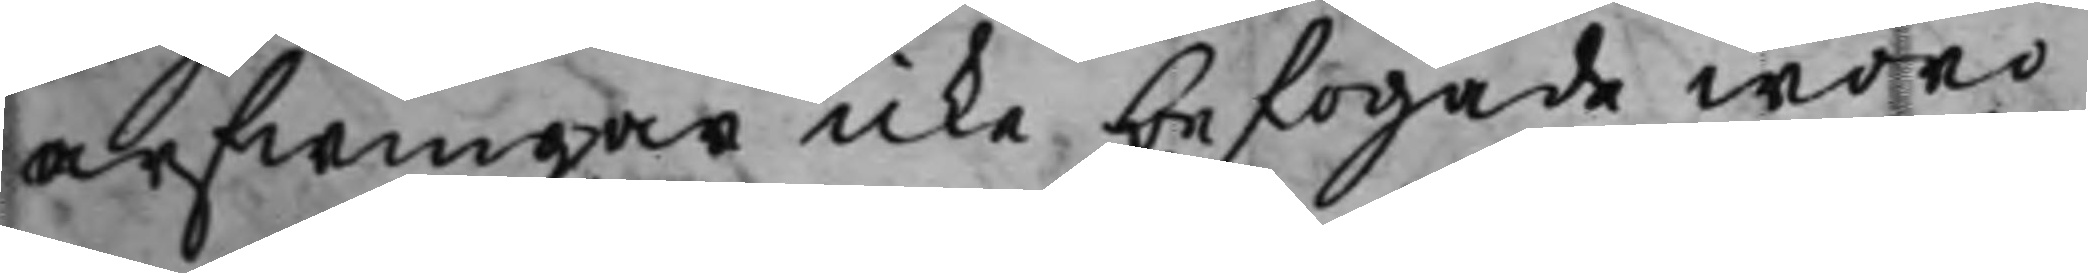arfwingar icke befogade woro
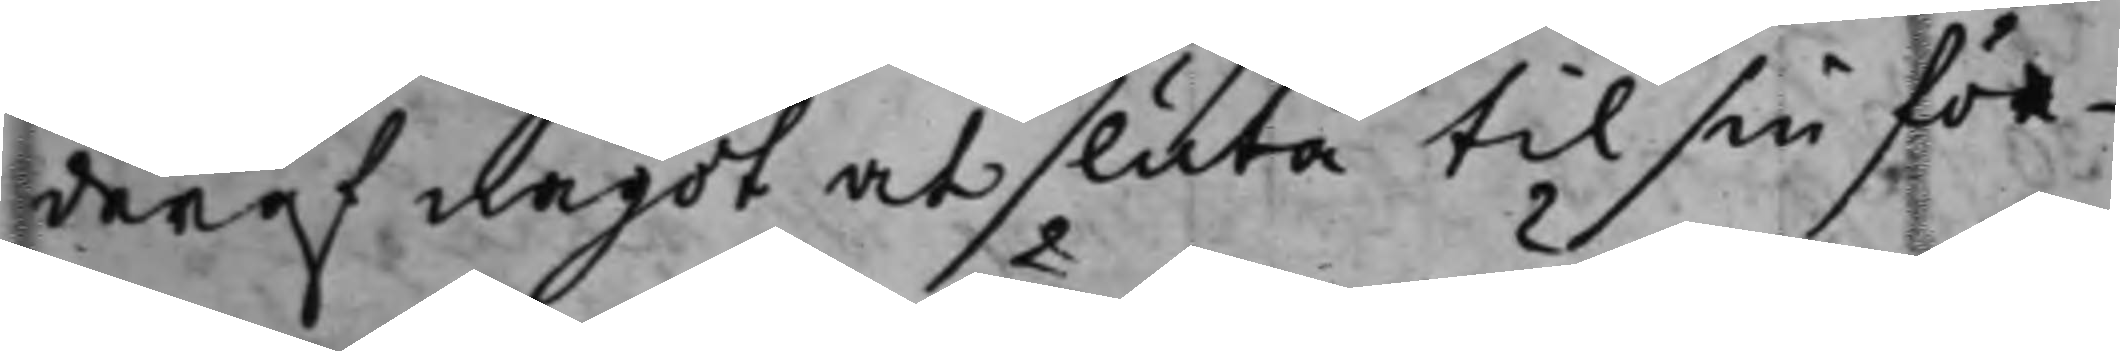deraf något at sluta til sin för¬
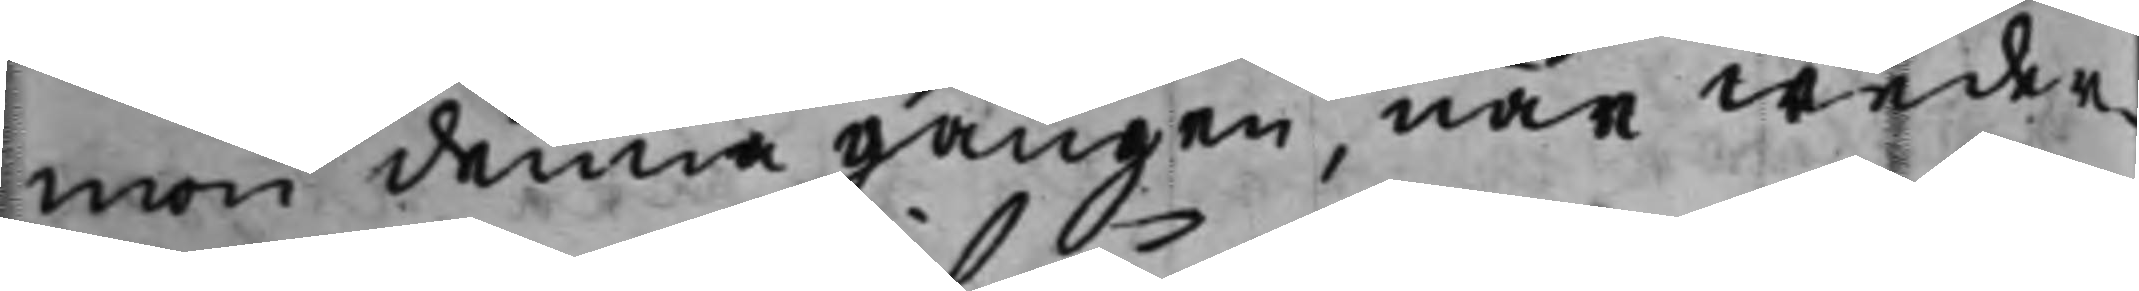mon denna gången, när weder¬
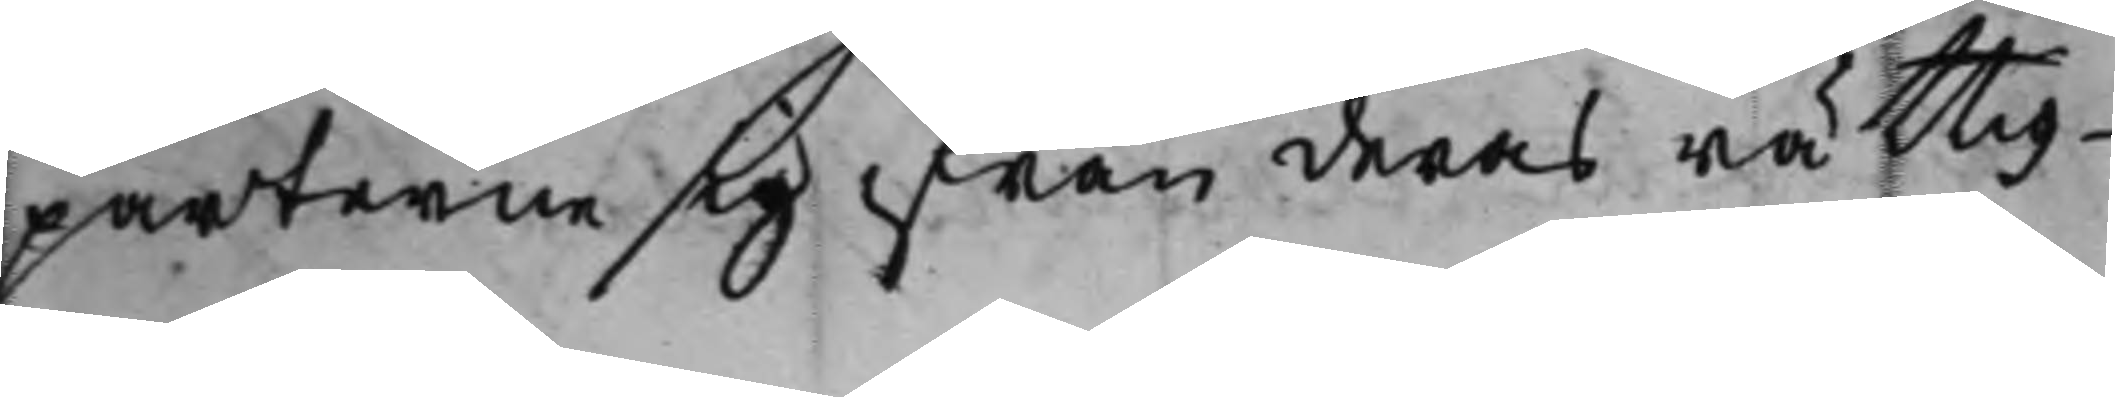parterne sig ifrån deras rättig¬
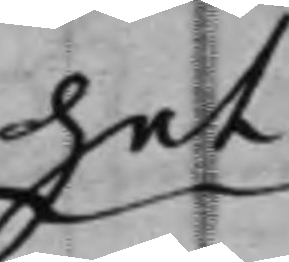het
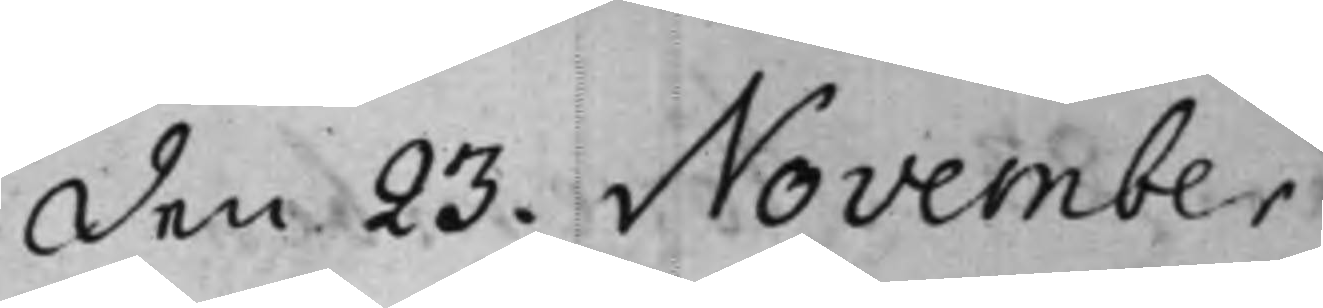den 23. November
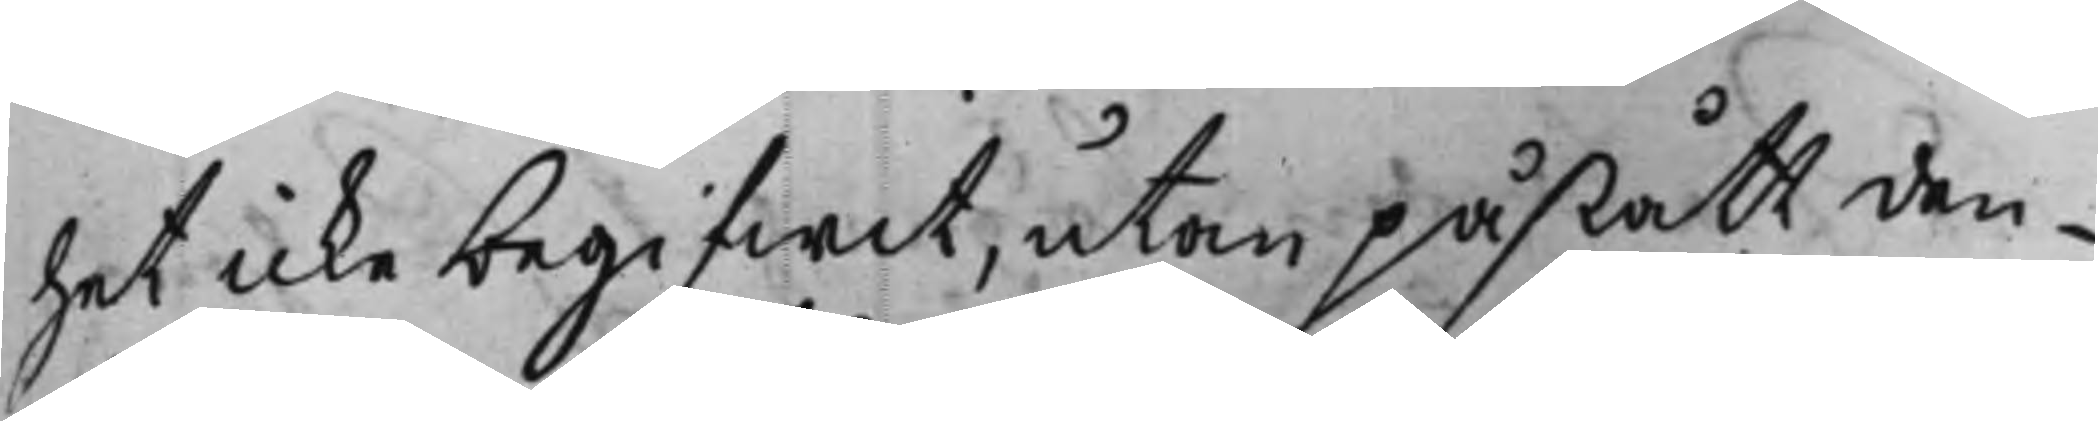het icke begifwit, utan påstått den¬
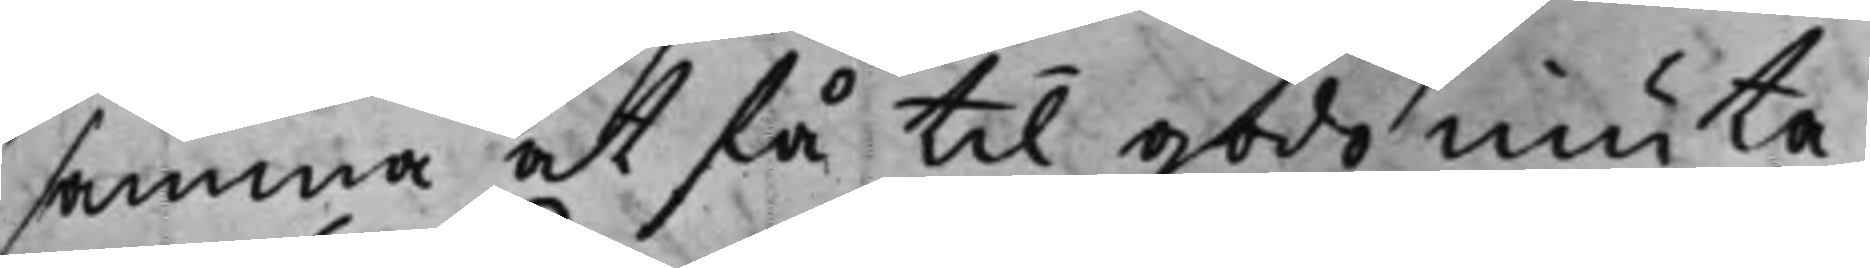samma at få til godo niuta.
